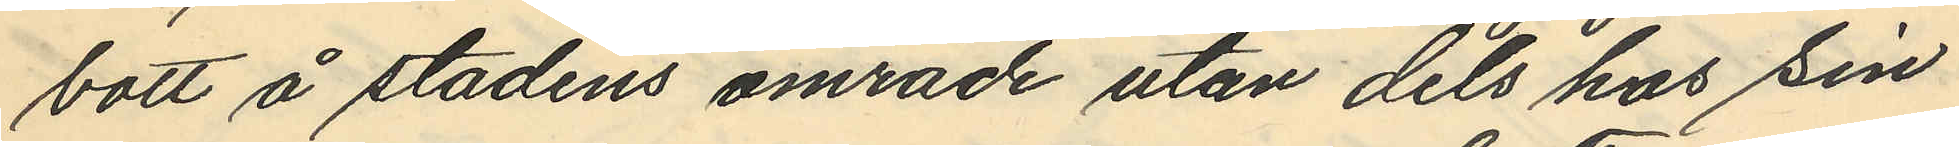bott å stadens område utan dels hos sin
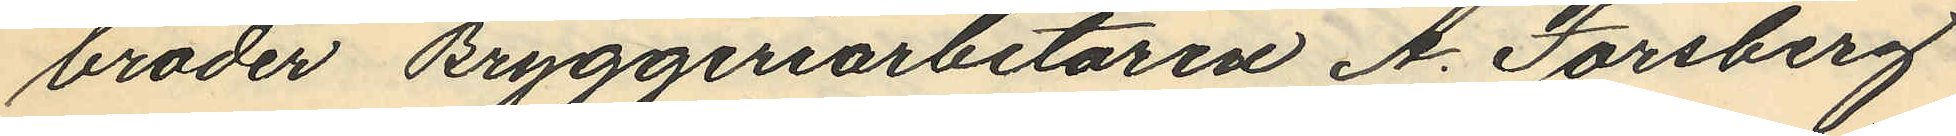broder Bryggeriarbetaren A. Forsberg
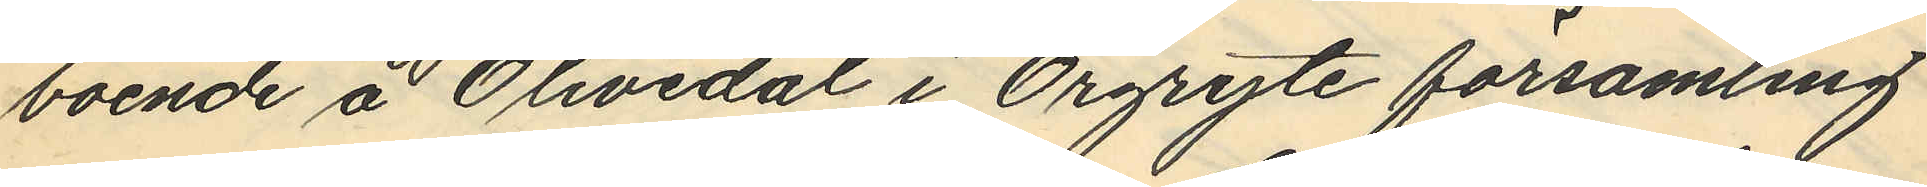boende å Olivedal i Örgryte församling
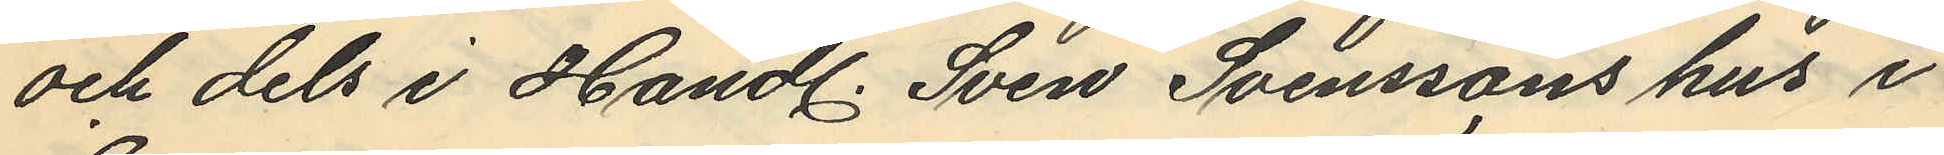och dels i Handl. Sven Svenssons hus i
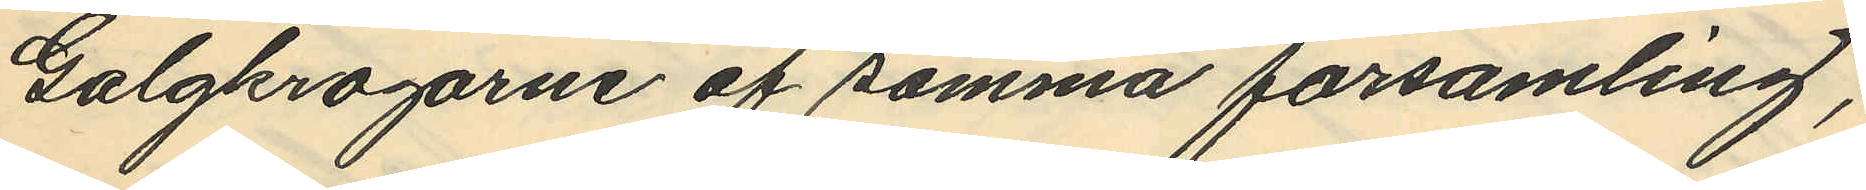Galgkrogarne af samma församling,
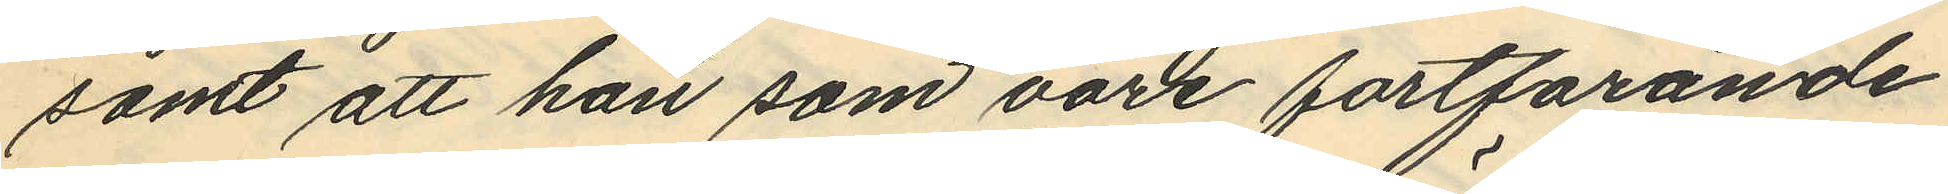samt att han som vore fortfarande
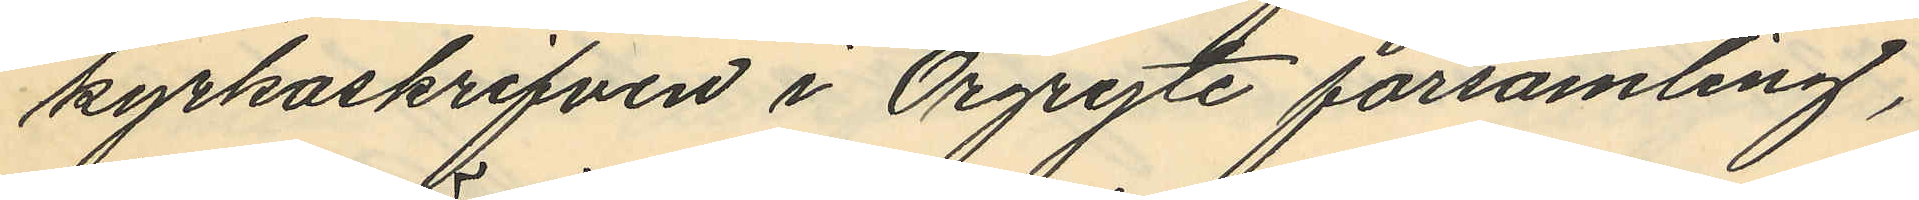kyrkoskrifven i Örgryte församling,
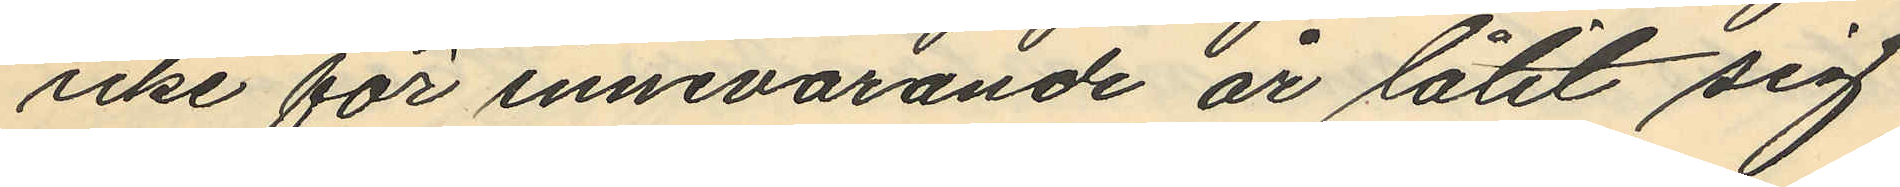icke för innevarande år låtit sig
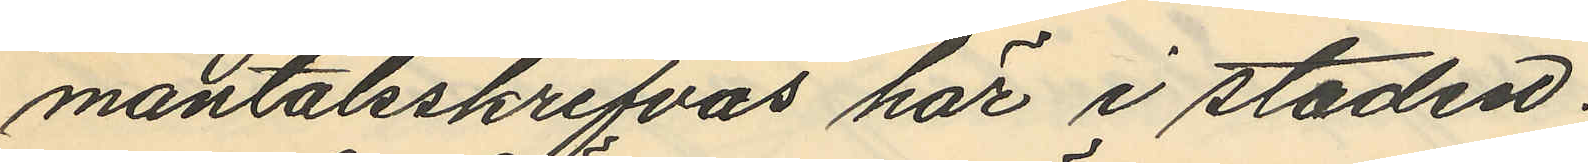mantalsskrifvas här i staden.
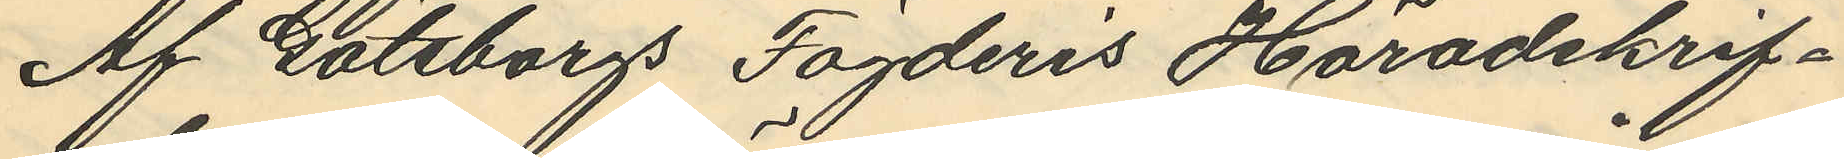Af Göteborgs Fögderis Häradskrif¬
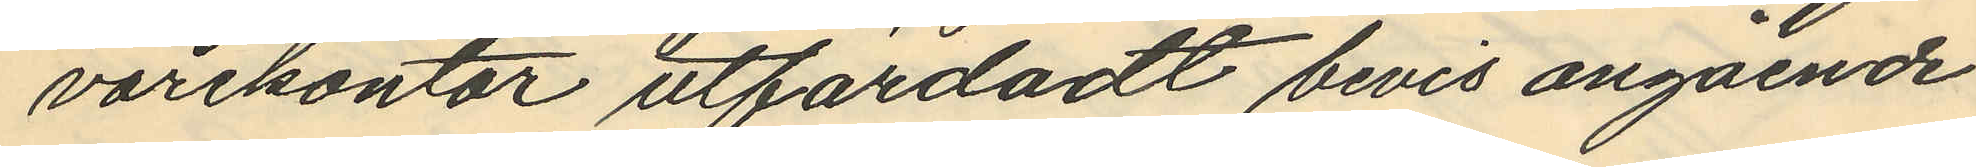varekontor utfärdadt bevis angående
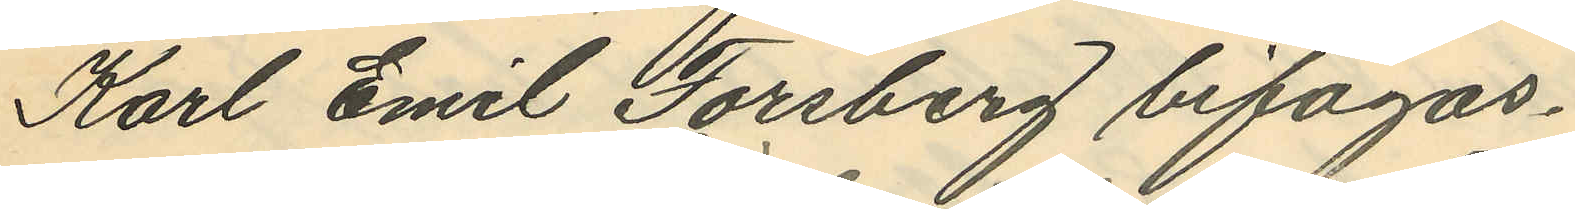Karl Emil Forsberg bifogas.
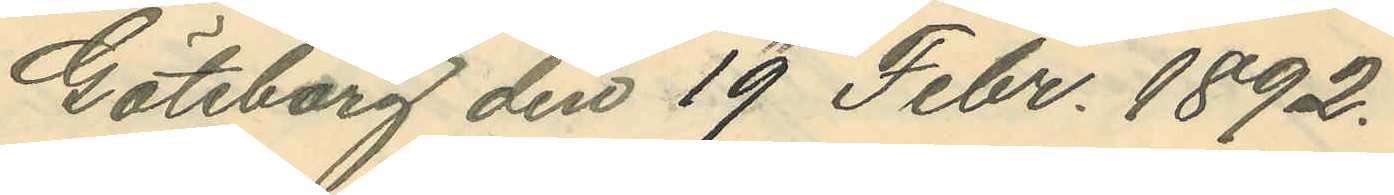Göteborg den 19 Febr. 1892.
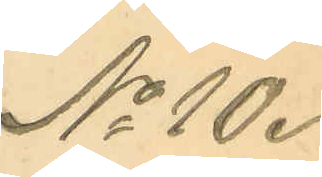No 10.
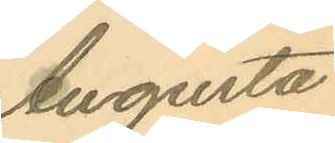Augusta
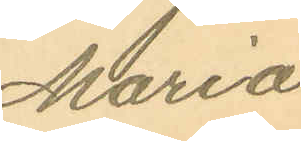Maria
